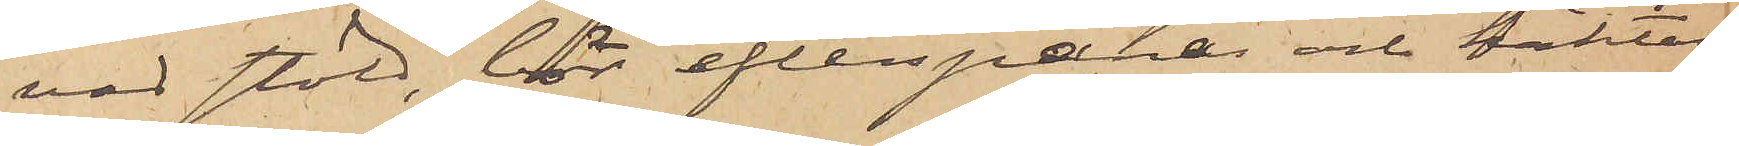vad stöld, bör efterspanas och häktas
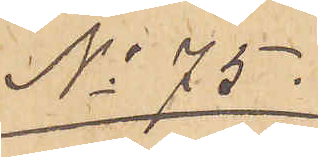No 75.
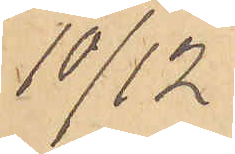10/12.
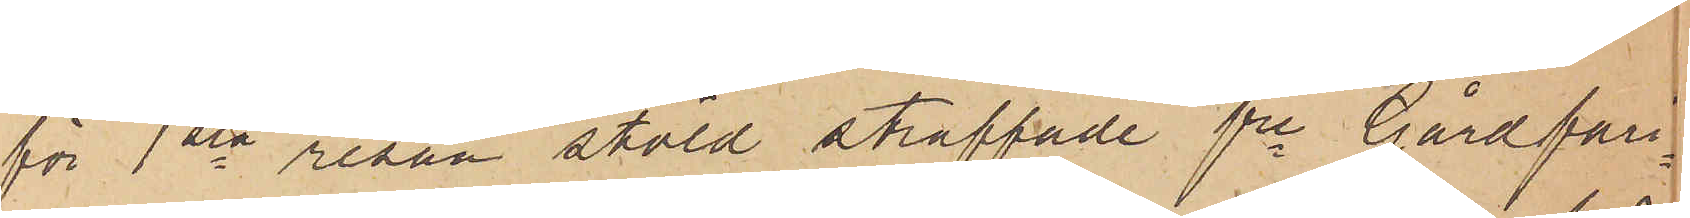för 1sta resan stöld straffade fre Gårdfari¬
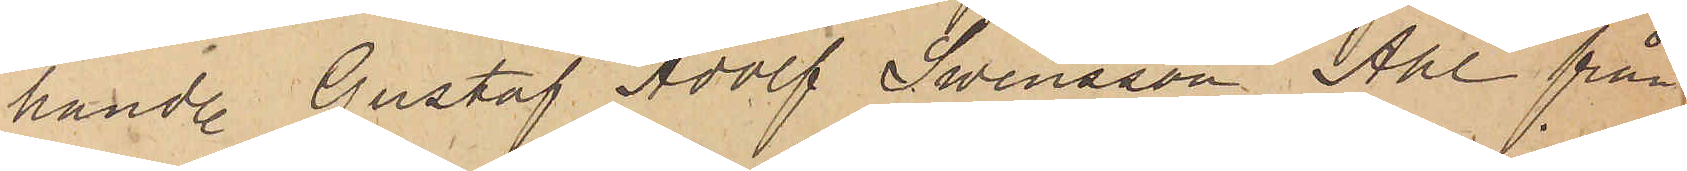handl. Gustaf Adolf Swensson Ahl från
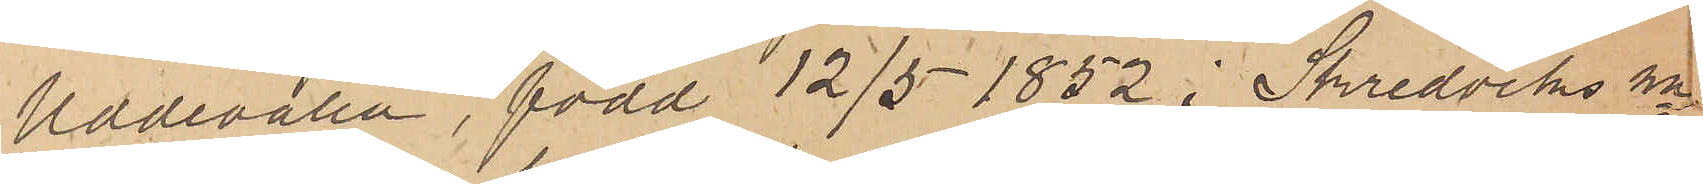Uddevalla, född 12/5 1852 i Skredviks sn
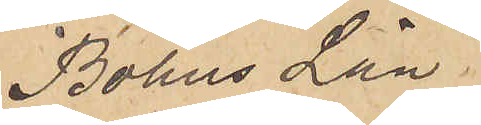Bohus Län.
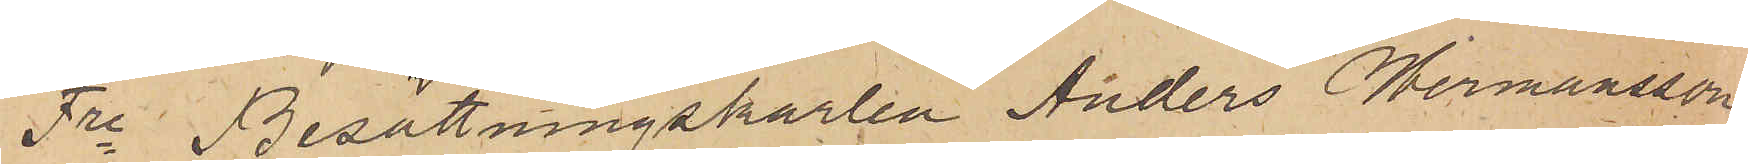Fre Besättningskarlen Anders Hermansson
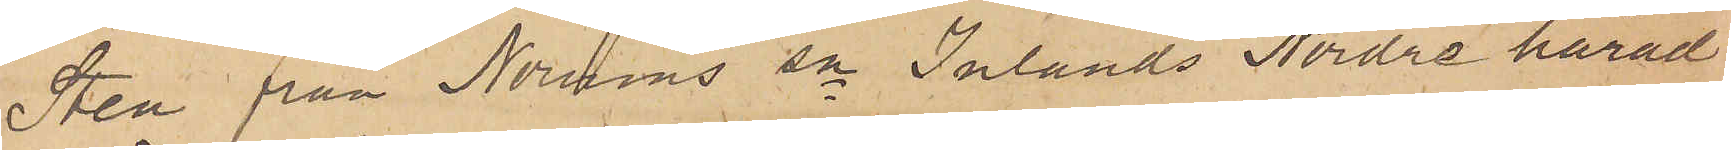Sten från Norums sn Inlands Nordre härad
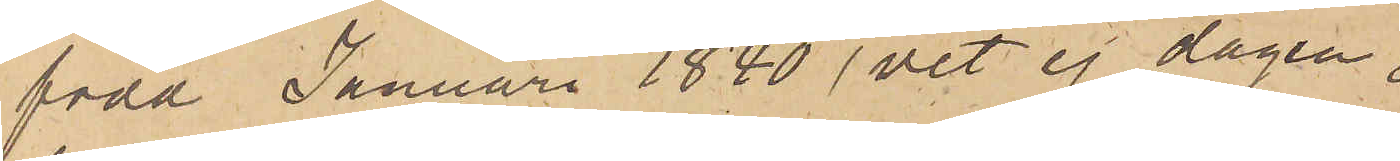född Januari 1840 vet ej dagen,
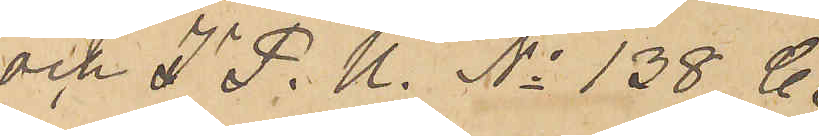och I P. U. No 138 C.
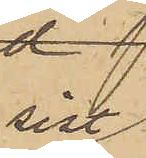sist
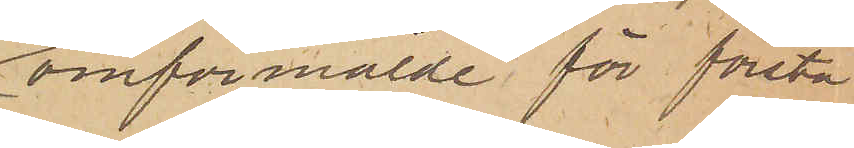omförmälde för första
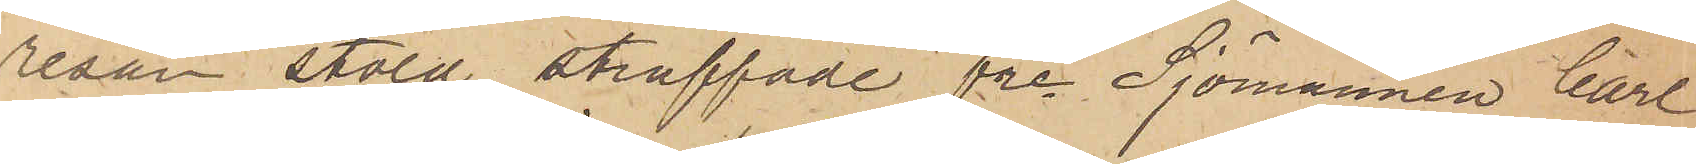resan stöld straffade fre Sjömannen Carl
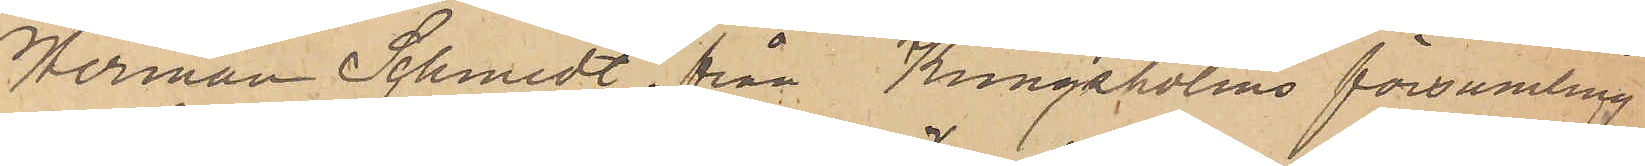Herman Schmidt från Kungsholms församling.
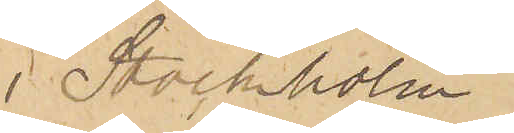i Stockholm
